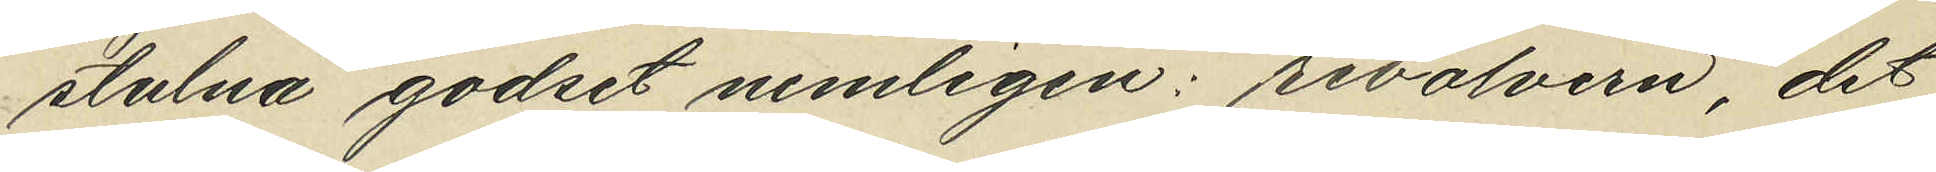stulna godset nemligen: revolvern, det
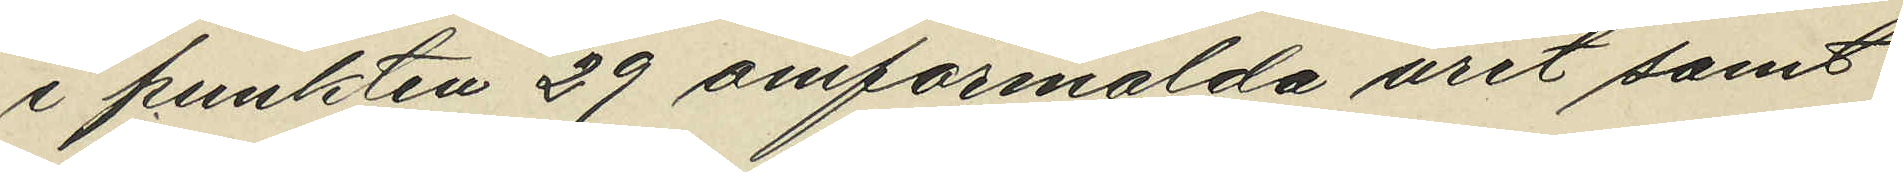i punkten 29 omförmälda uret samt
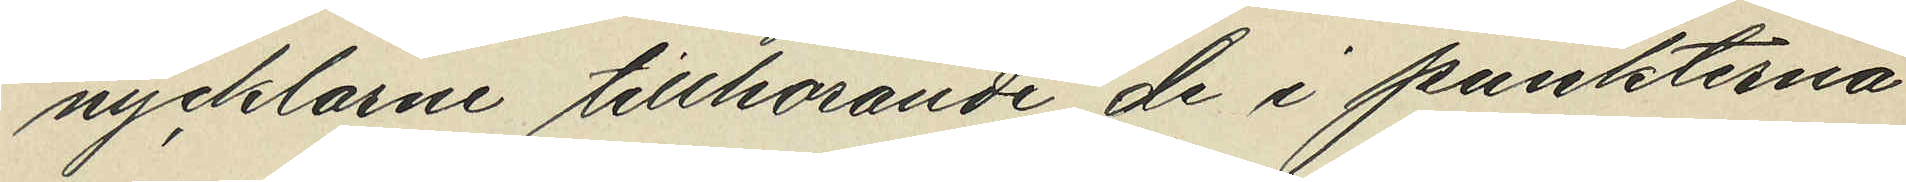nycklarne tillhörande de i punkterna
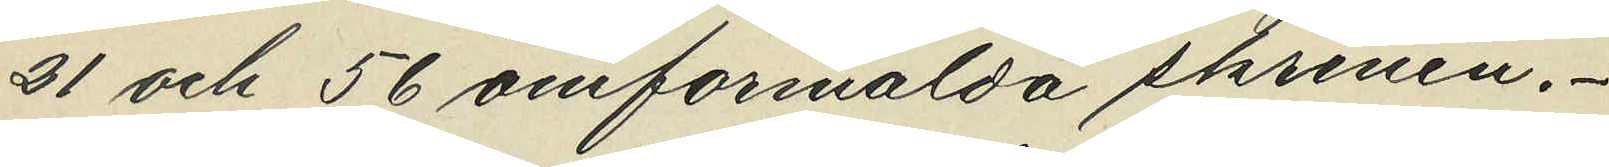21 och 56 omförmälda skrinen.
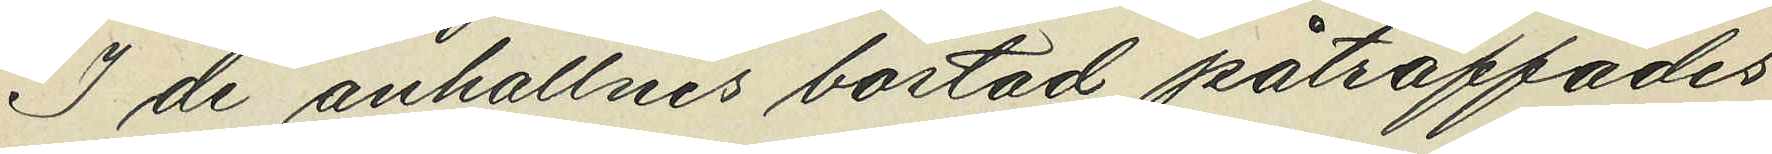I de anhallnes bostad påträffades
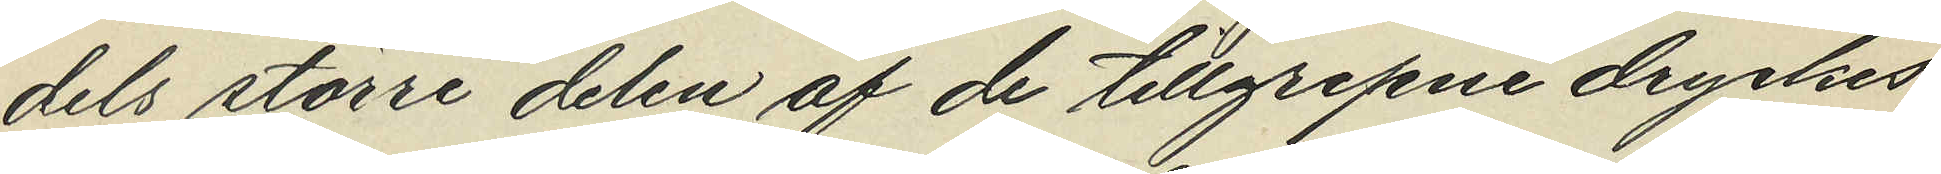dels större delen af de tillgrepne dryckes¬
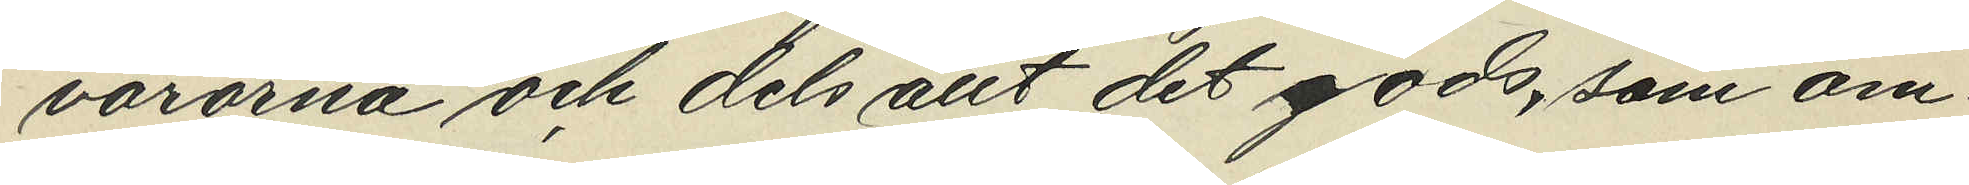varorna och dels allt det gods, som om¬
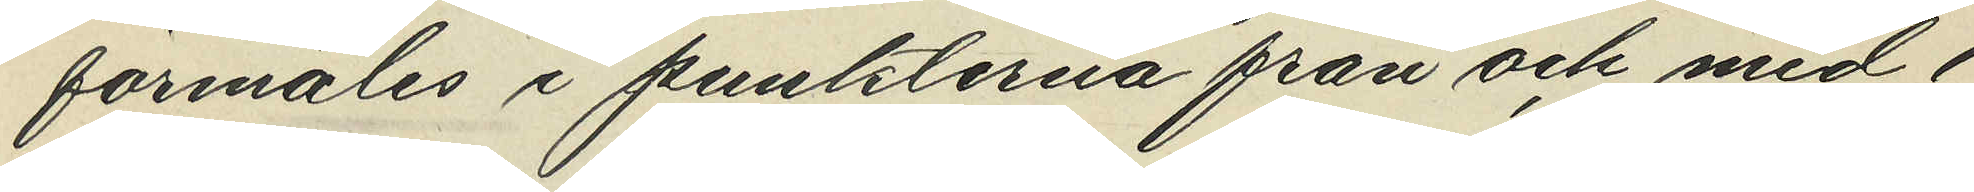förmäles i punkterna från och med 1
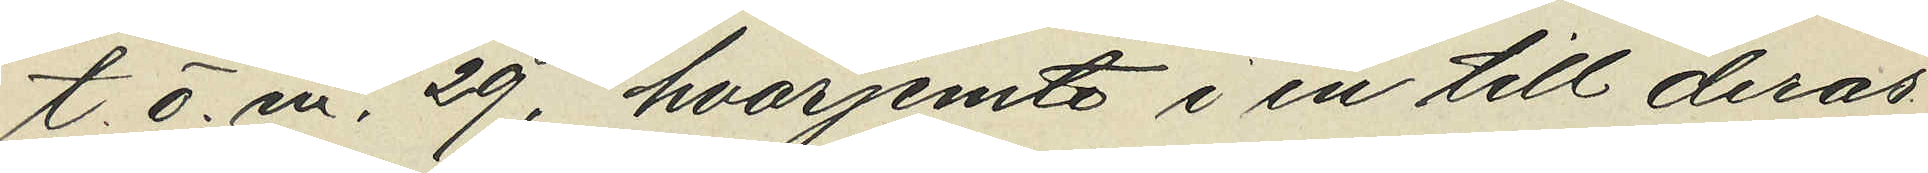t.o.m.  29, hvarjemte i en till deras
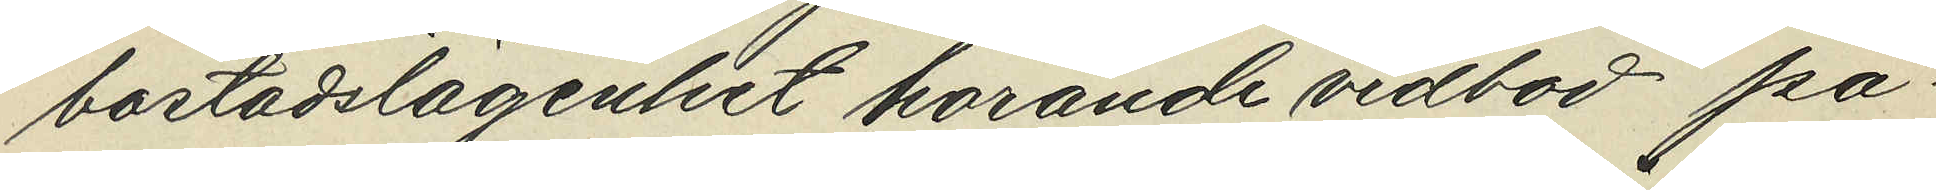bostadslägenhet hörande vedbod på¬
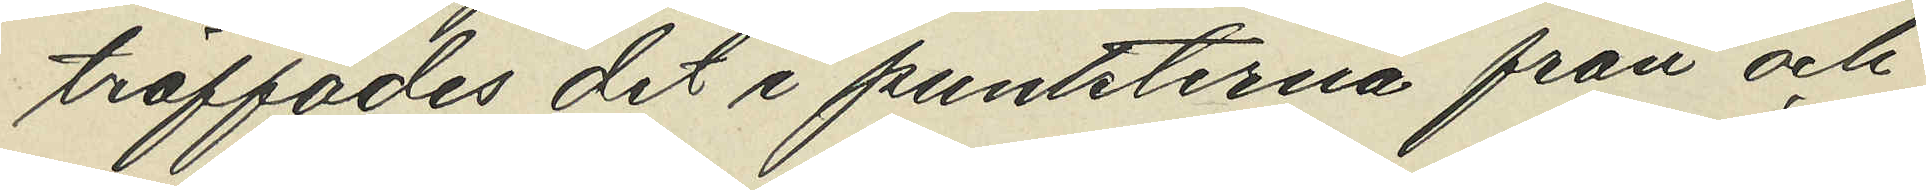träffades det i punkterna från och
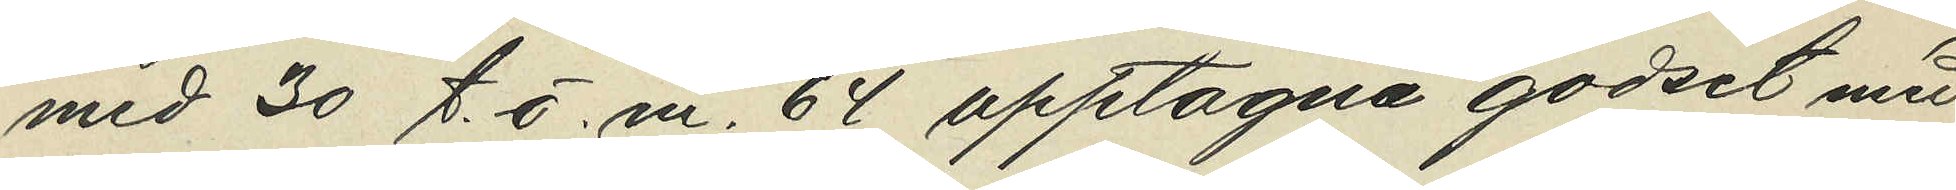med 30 t.o.m. 64 upptagna godset med
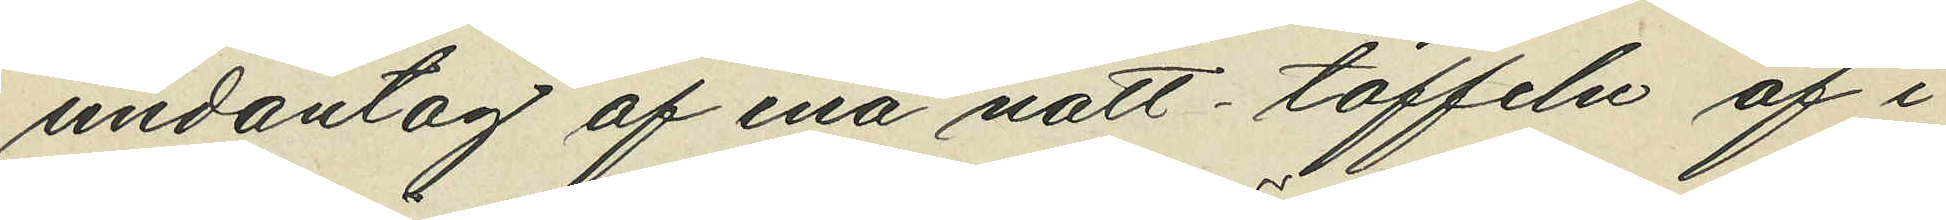undantag af ena natt-toffeln af i
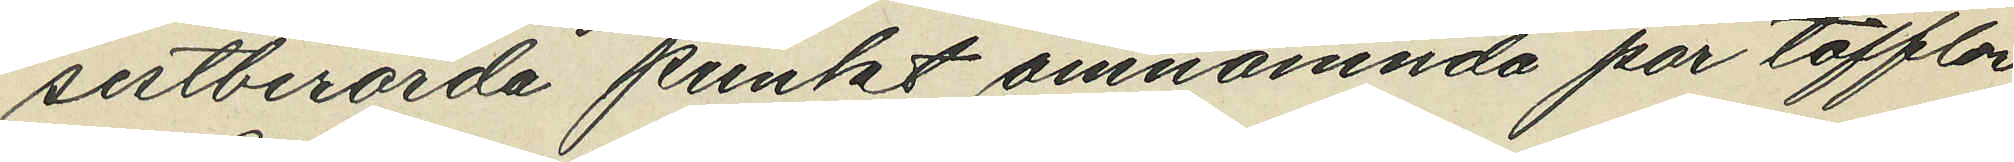sistberörda punkt omnämnda par tofflor.
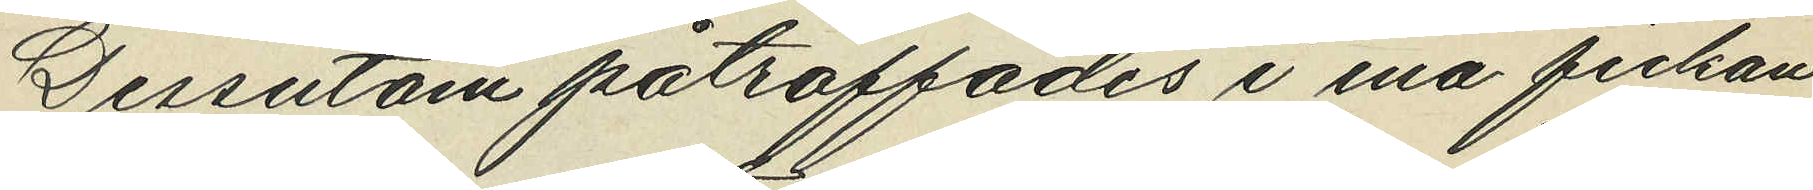Dessutom påträffades i ena fickan
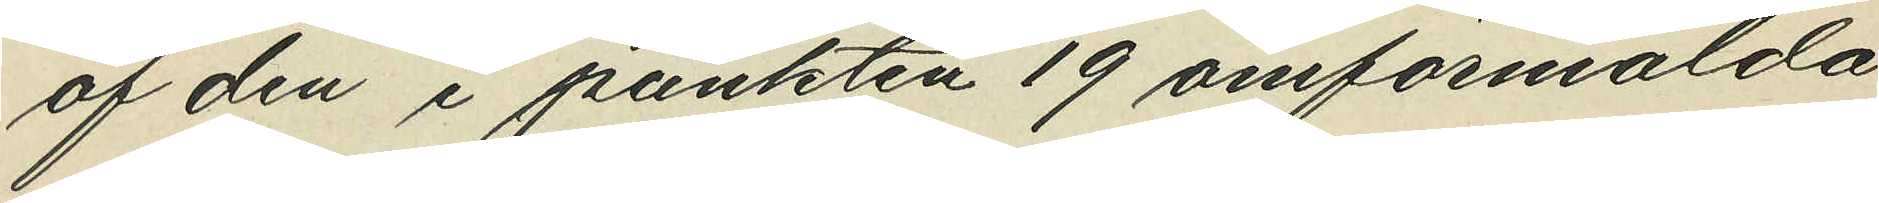af den i punkten 19 omförmälda
